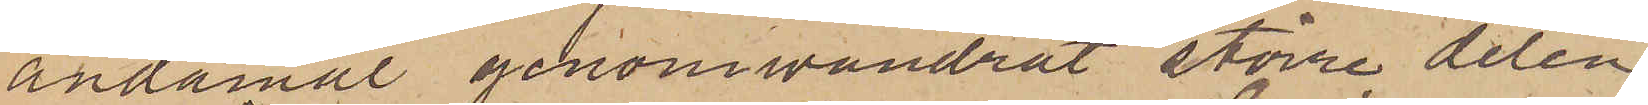ändamål genomvandrat större delen
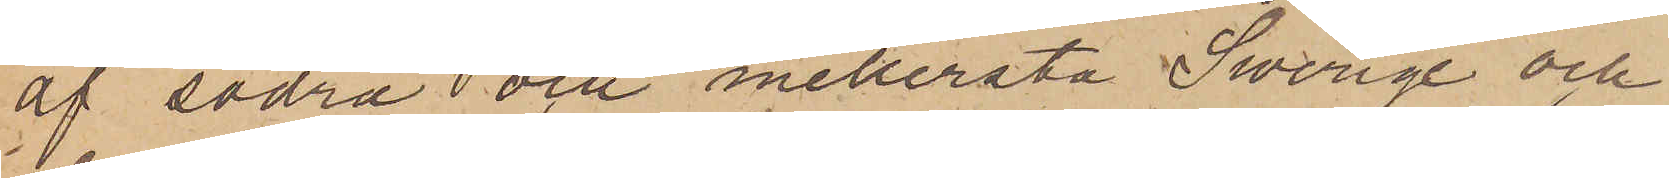af södra och mellersta Swerige och
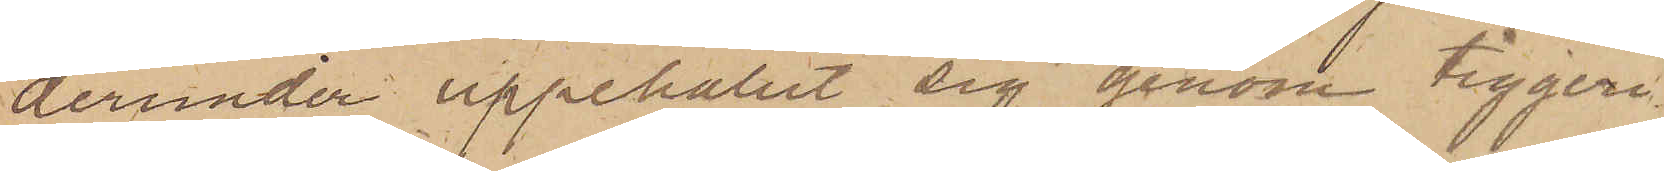derunder uppehållit sig genom tiggeri
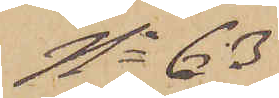No 63
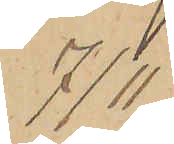7/11
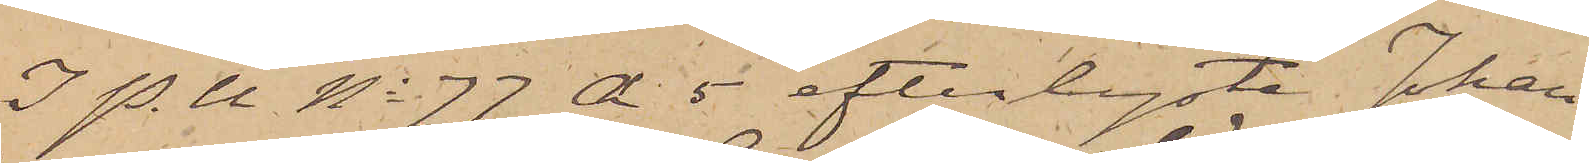I P.U No 77 A 5 efterlyste Johan
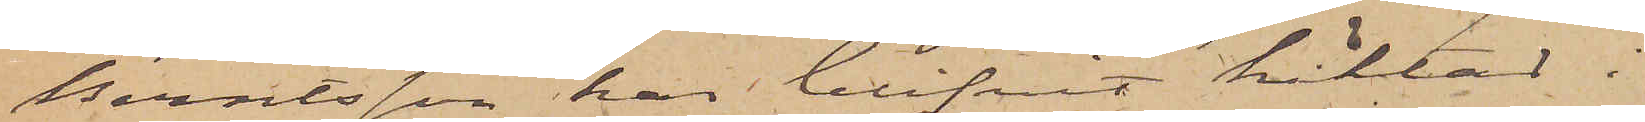Berntsson har blifvit häktad i
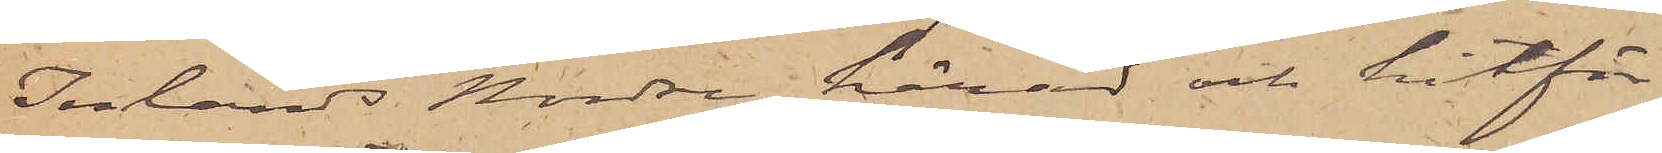Inlands Nordre härad och hitför¬
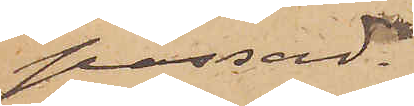passad.
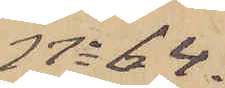No 64.
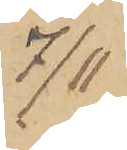7/11
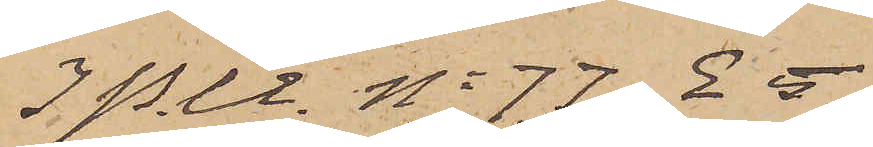I P. U. No 77 E 5
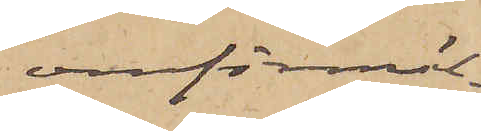omförmäl¬
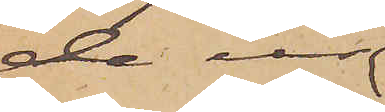de ur
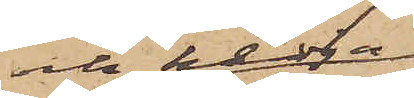och kedja
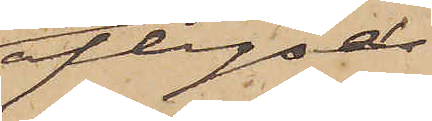aflyses
